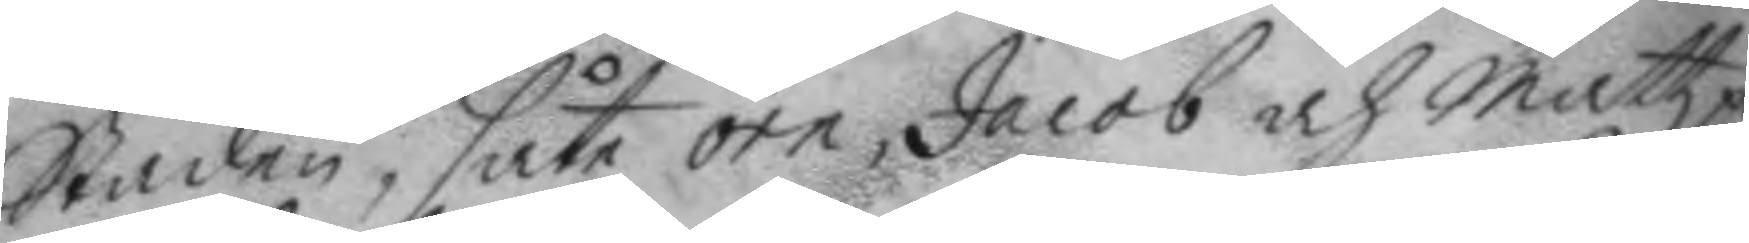Staden, såte örn, Jacob och Mattz på
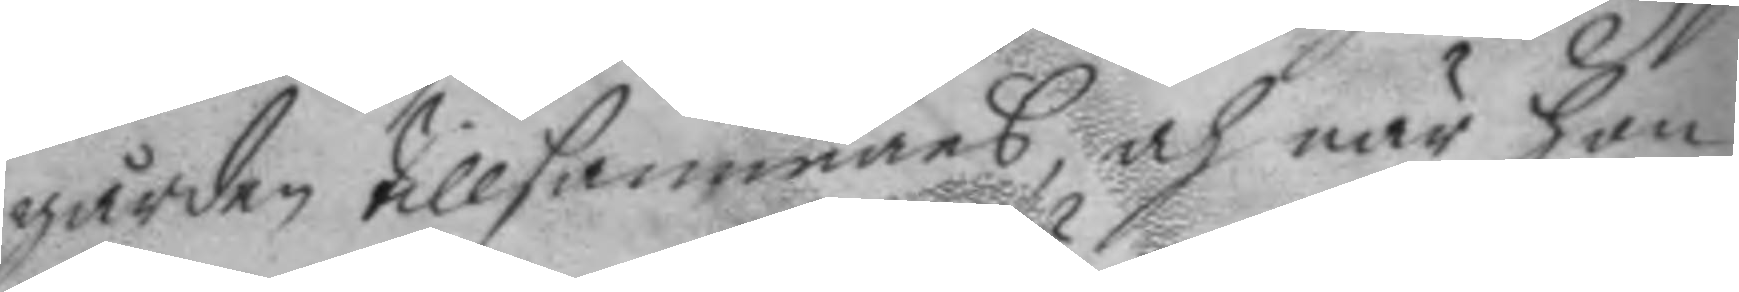gården tillsammans, och när hon
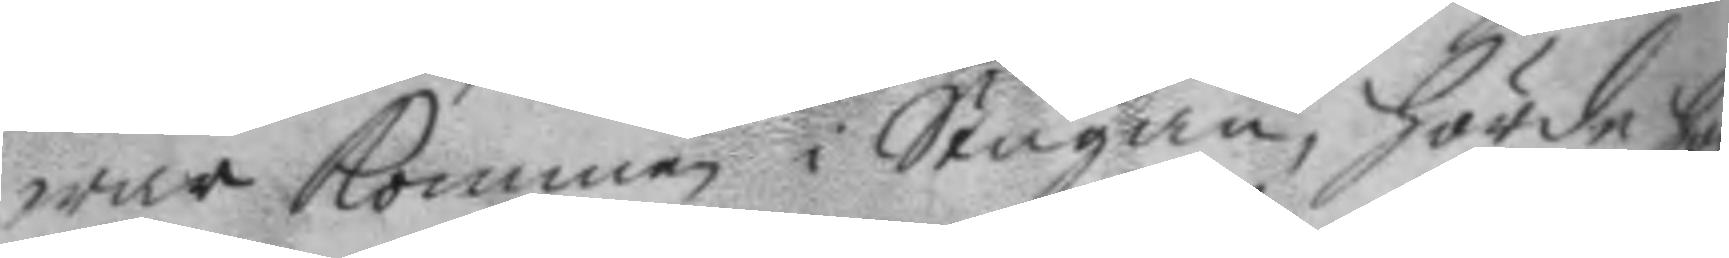war kommen i Stugan, hörde hon
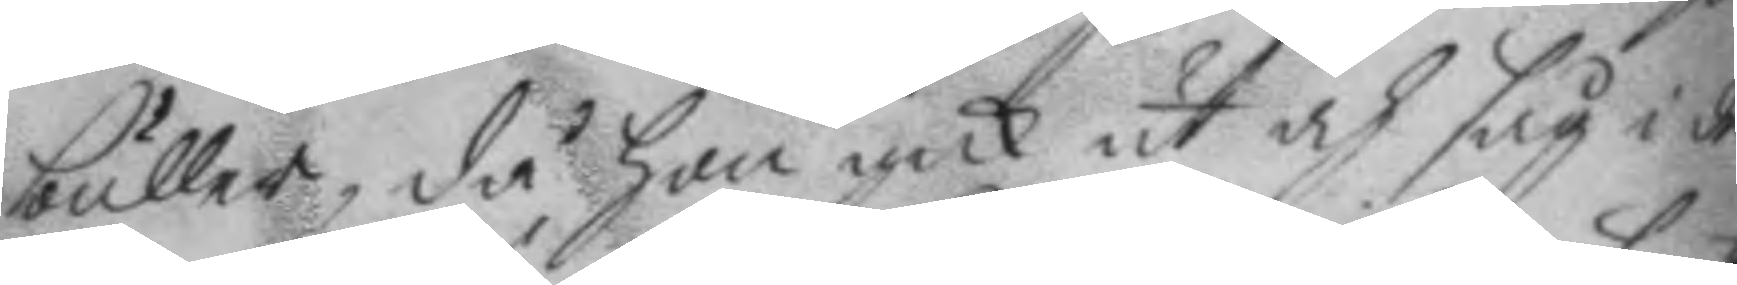buller, då hon gick ut och såg i det
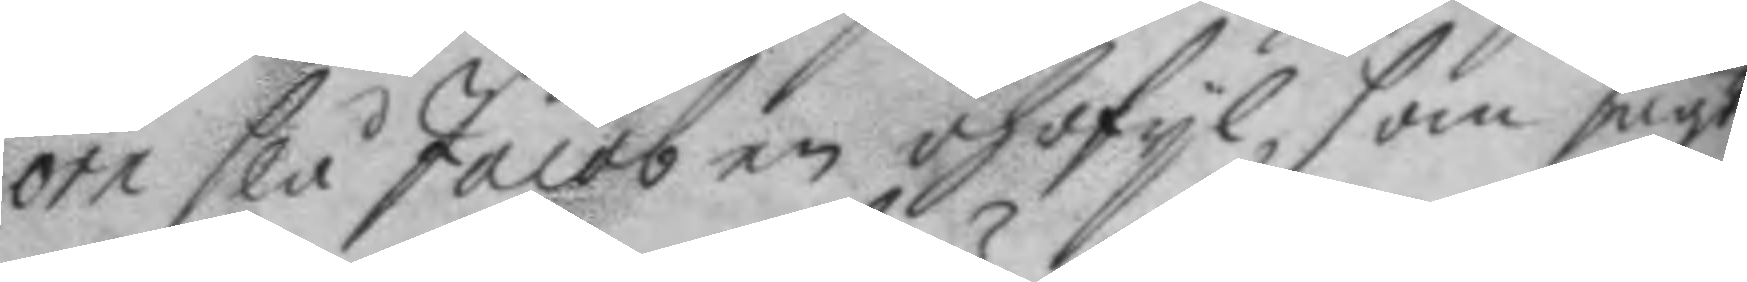örn slå Jacob en öhrfil, som sagt
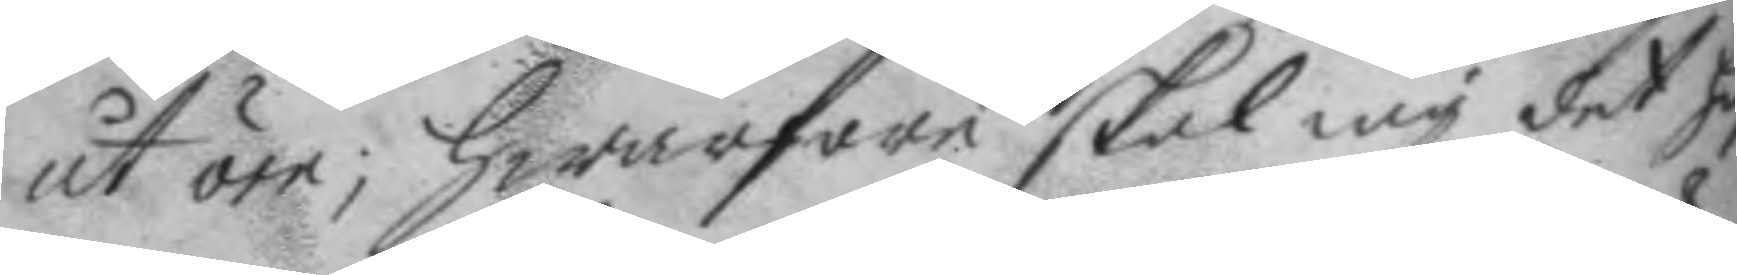åt örn; hwarföre skal iag det haf¬
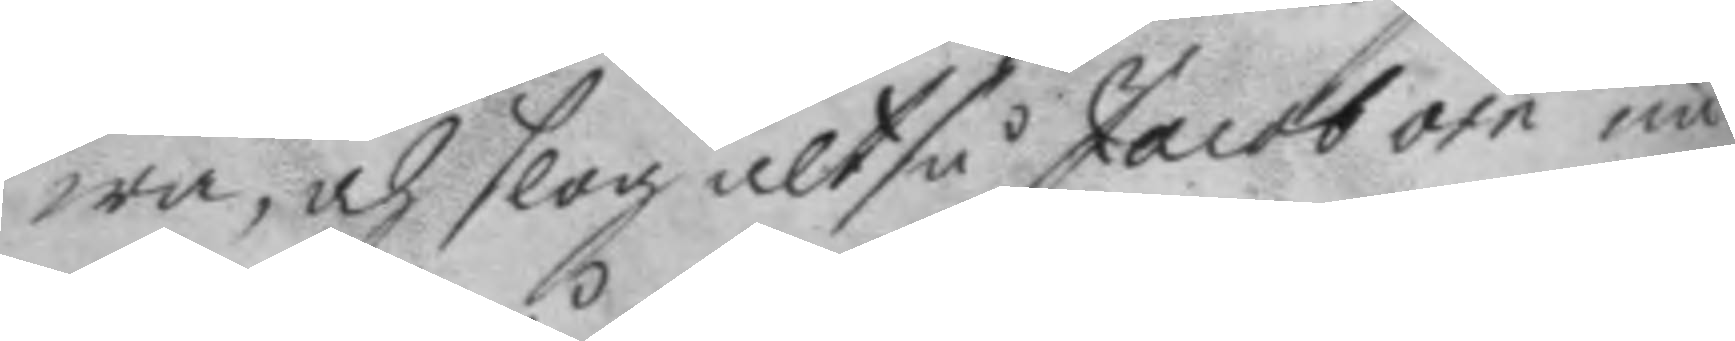wa, och slog altså Jacob örn un¬
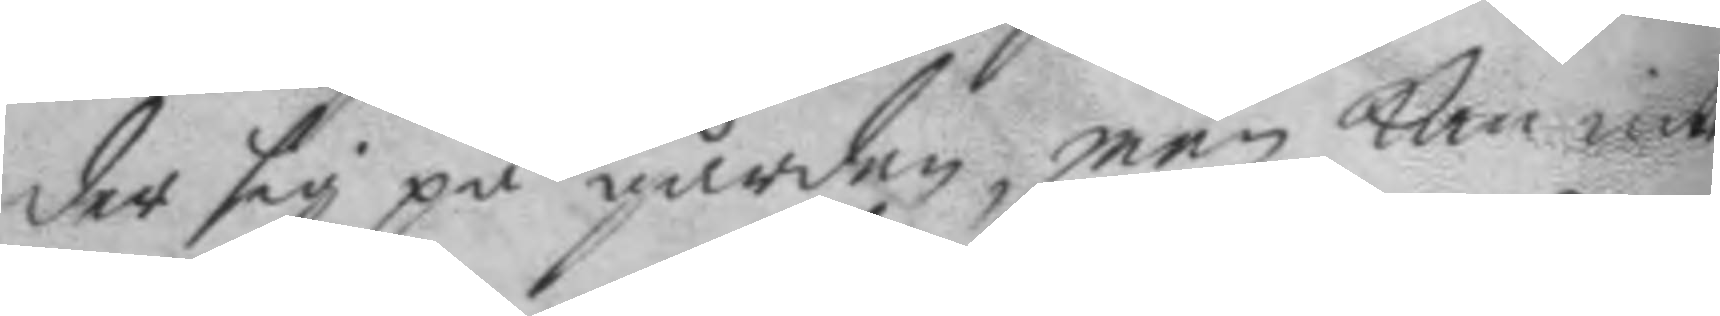der sig på gården, men kan inte
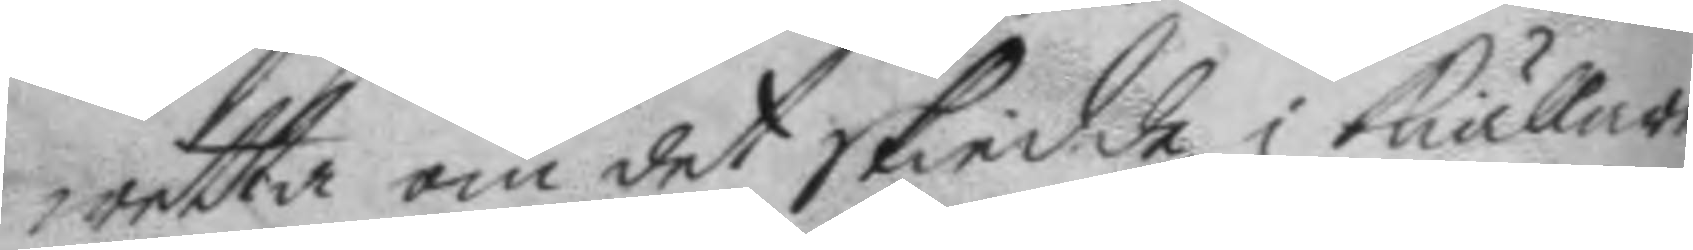wetta om det skiedde i kiällare¬
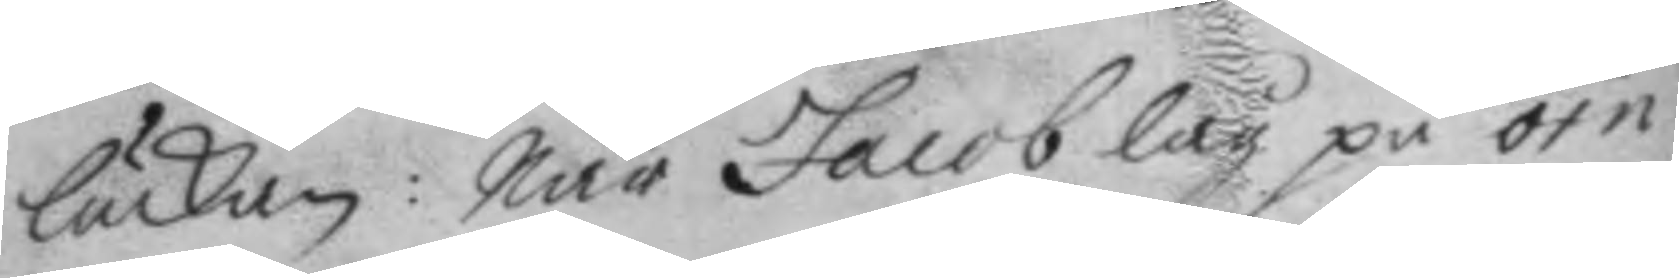luckan: När Jacob låg på örn,
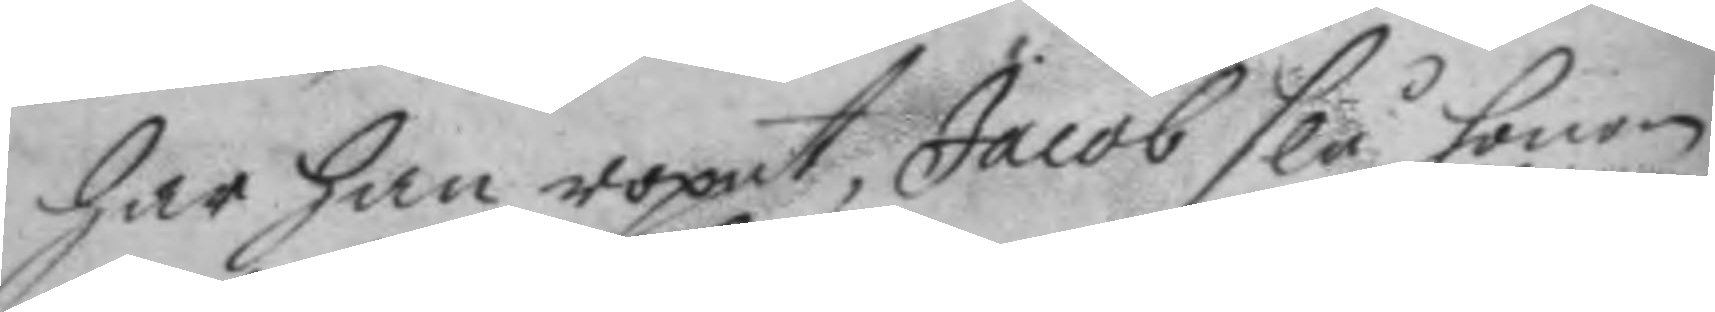har han ropat, Jacob slå honom
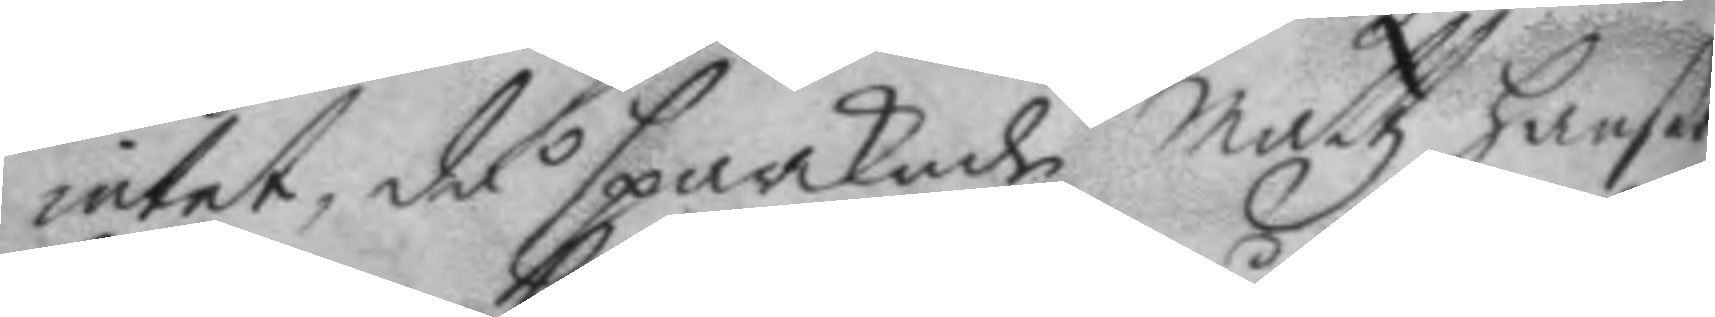intet, då sparkade mattz hanßon
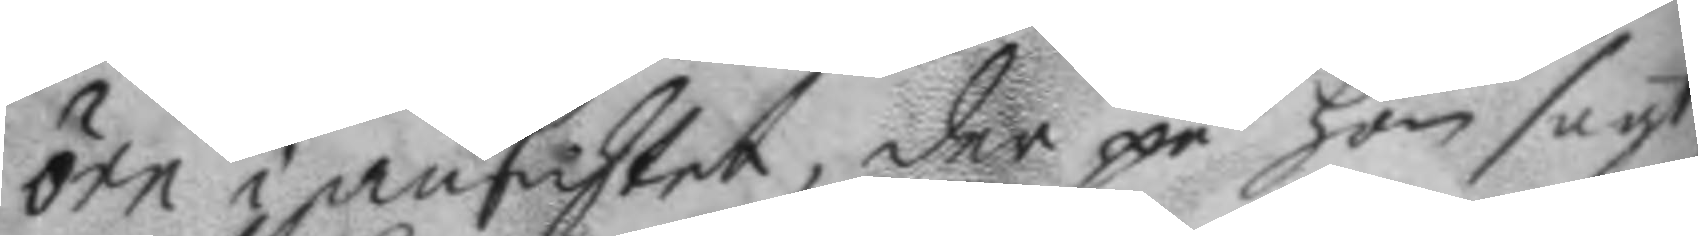örn i ansichtet, der på hon sagt,
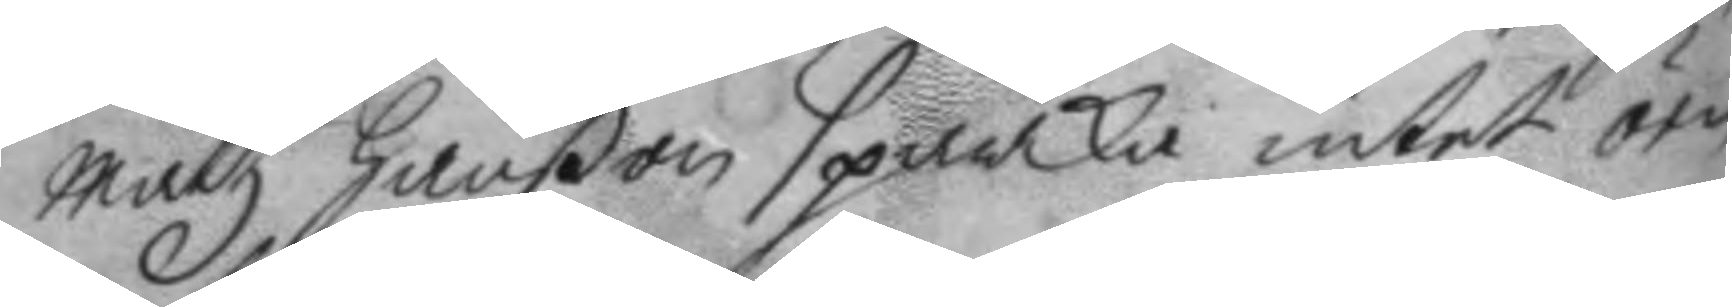mattz hanßon sparka intet örn
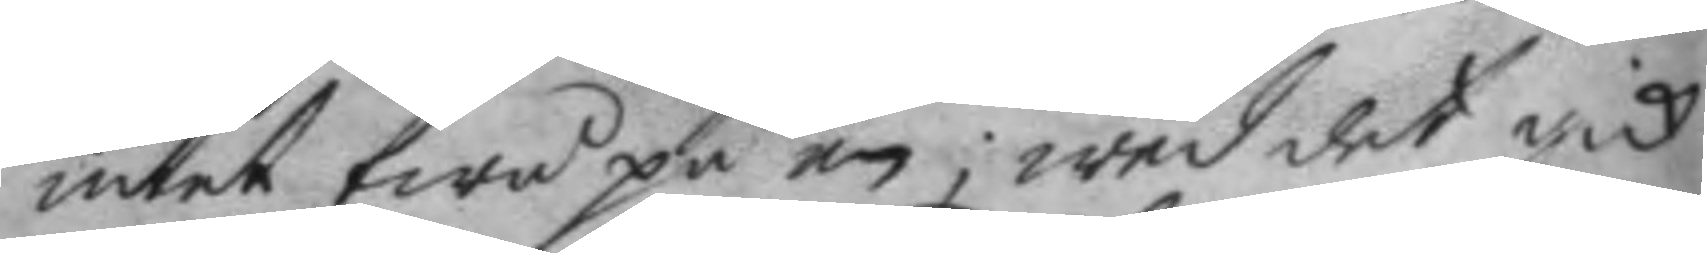intet twå på en; wed det gick
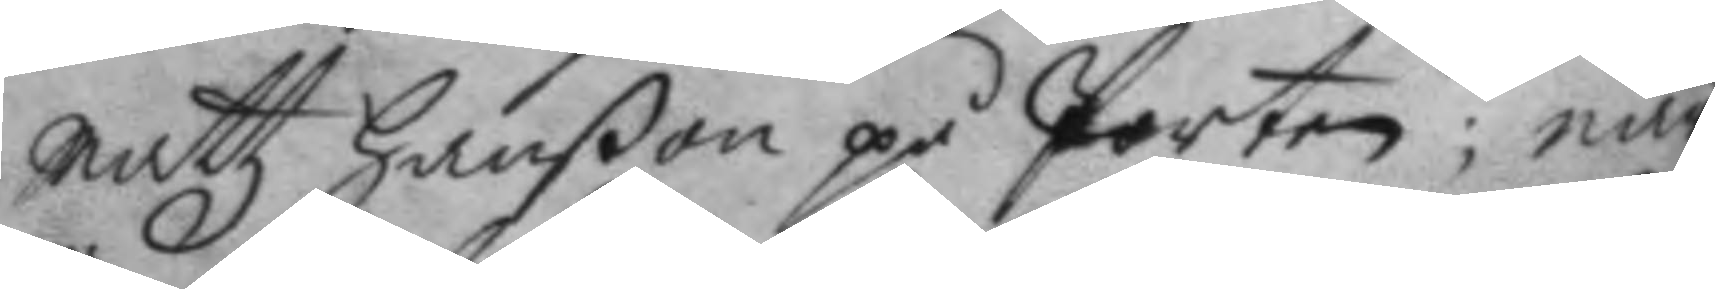mattz hanßon på Porten; när
